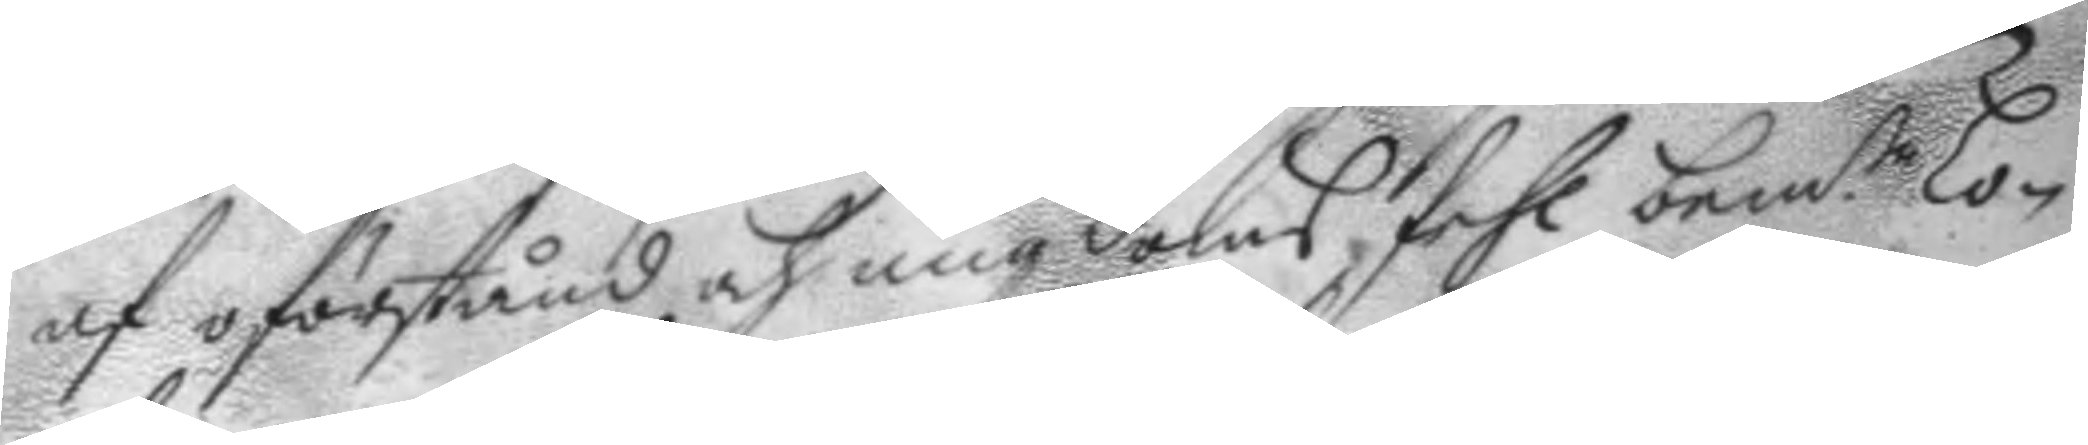af oförstånd och ungdoms fehl bem.te Lo¬
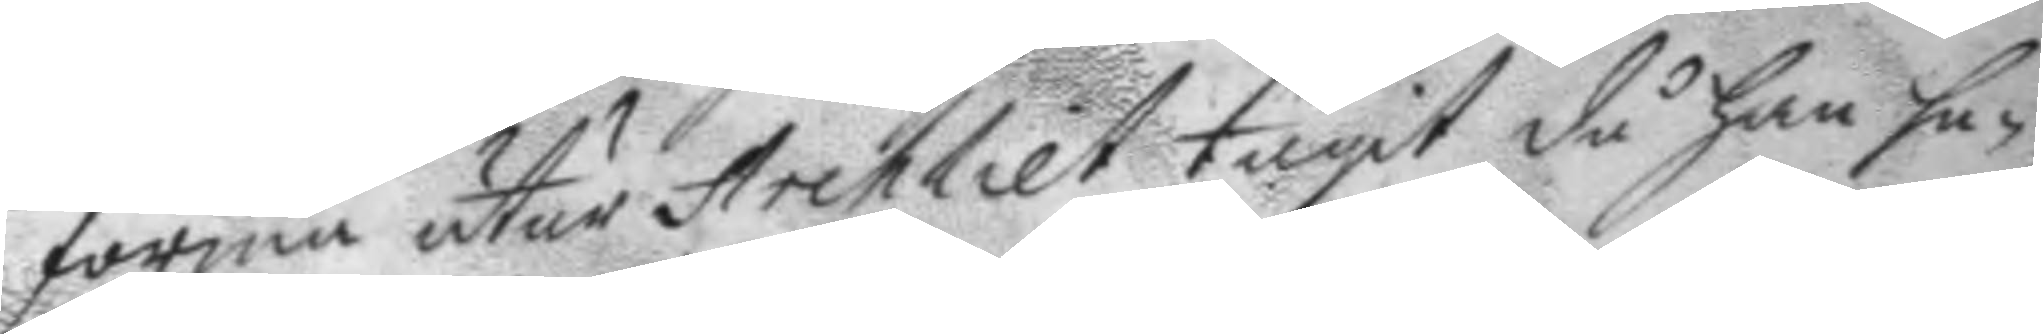forma utur Archliet tagit då han ha¬
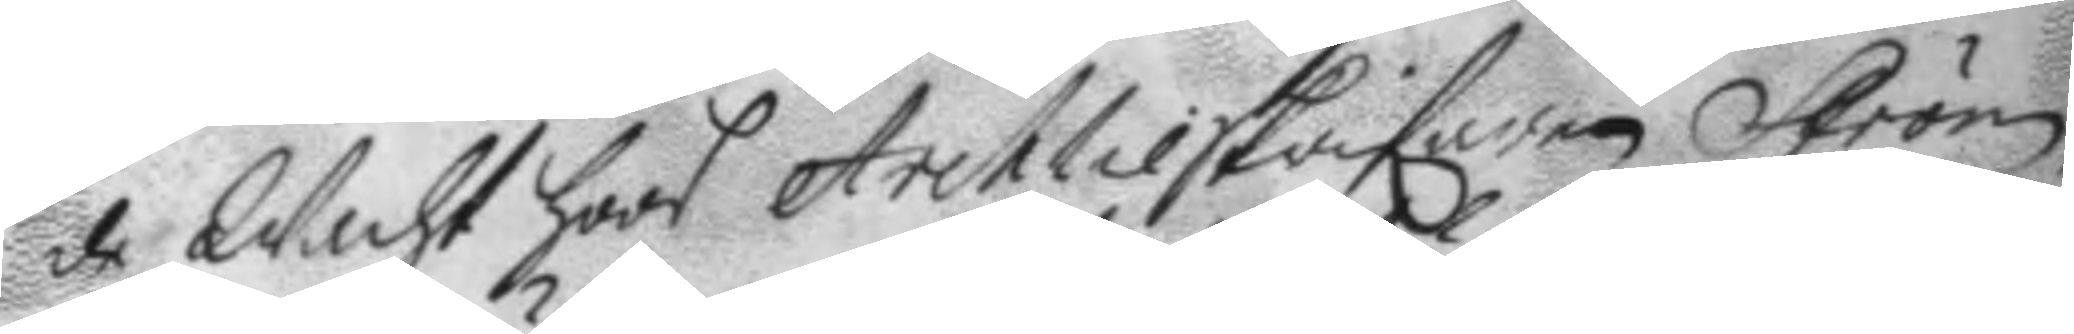de Wacht hoos Archlieskrifaren Ström
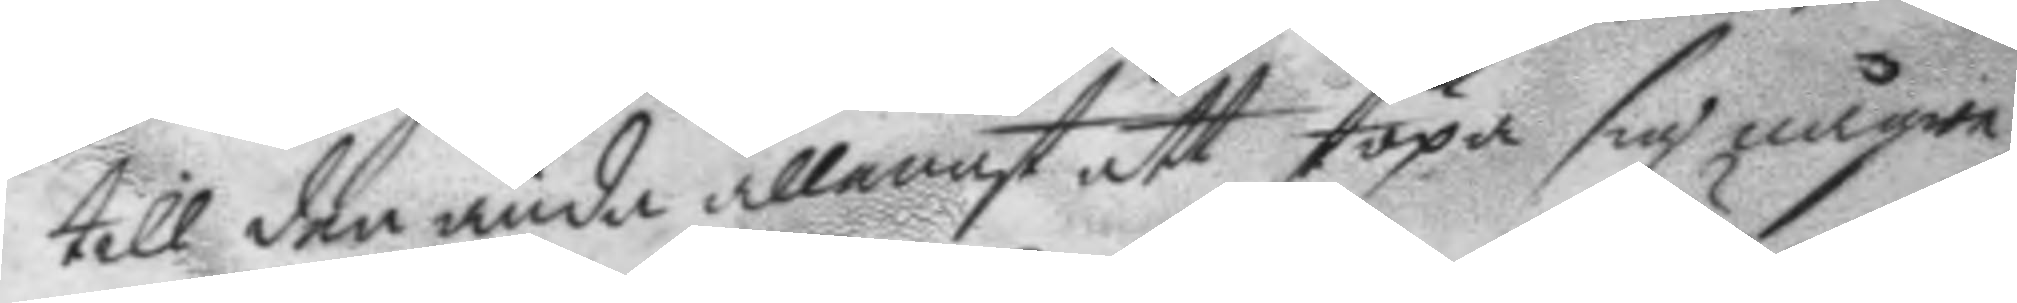till den ända allenast att stöpa sig någre
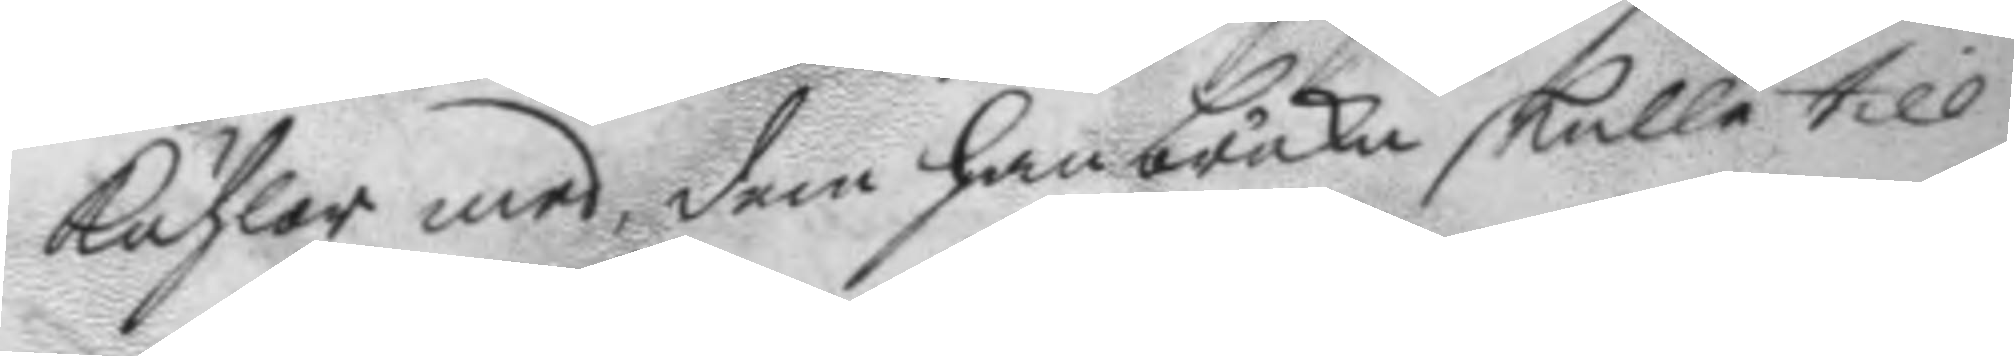kuhlor med, dem han bruka skulle till
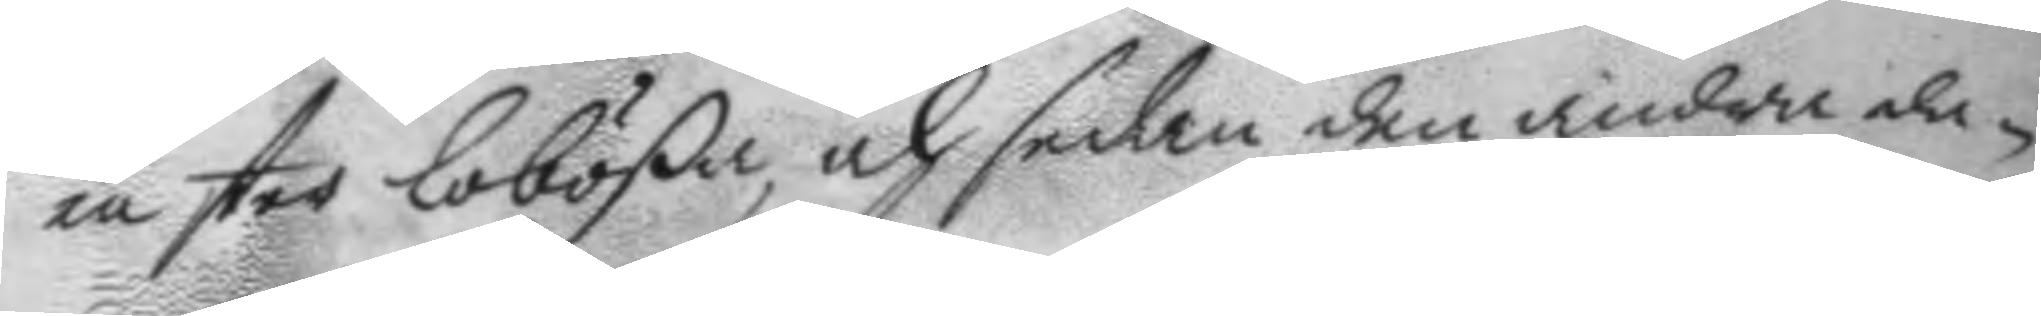en ster Lobößa, och sedan den andra da¬
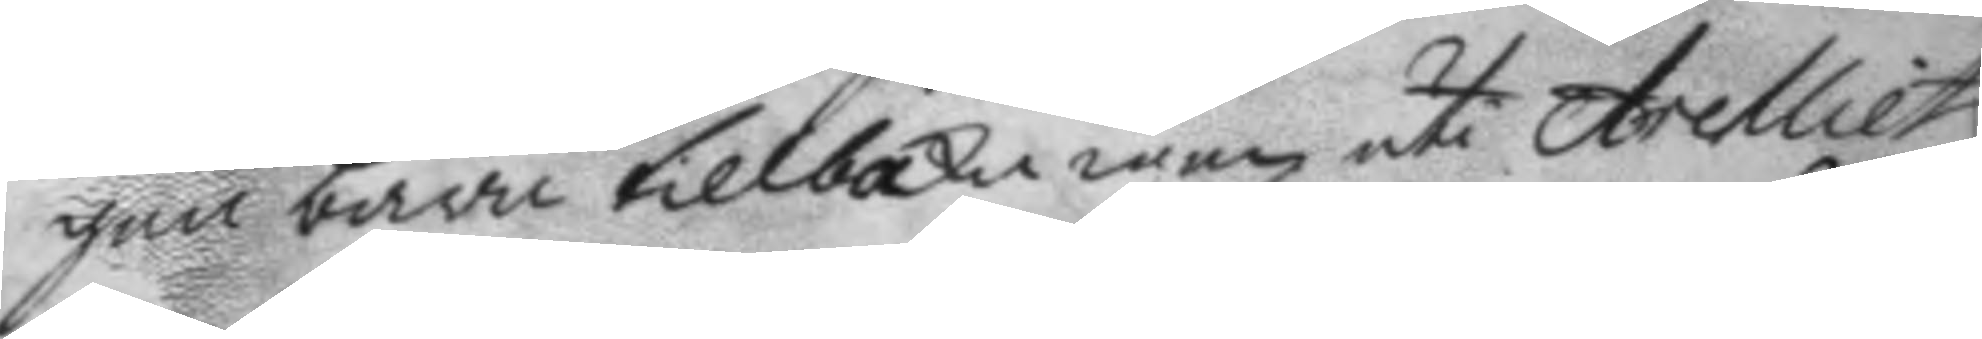gen bära tilbaka igen uti Archliet;
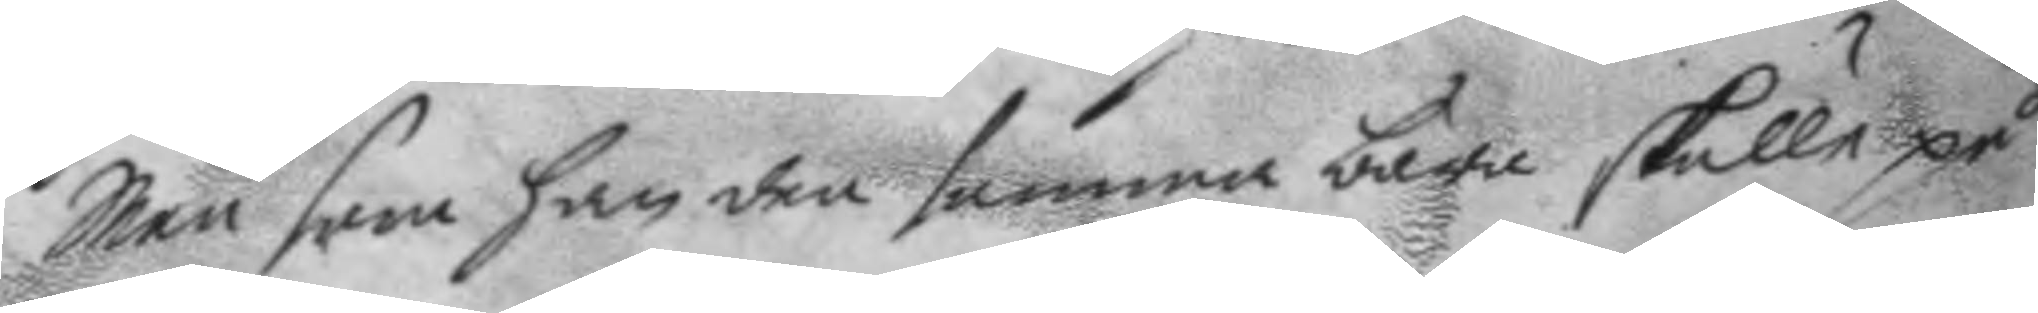Men som han den samma bära skulle på
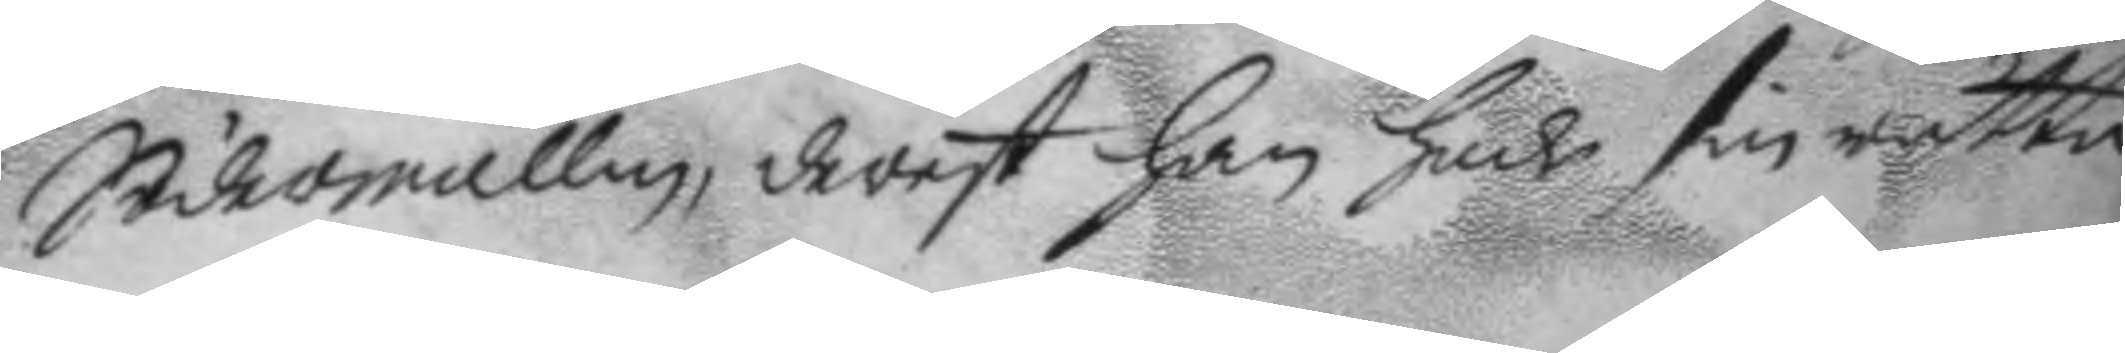Södermallm, derest han hade sin rätta
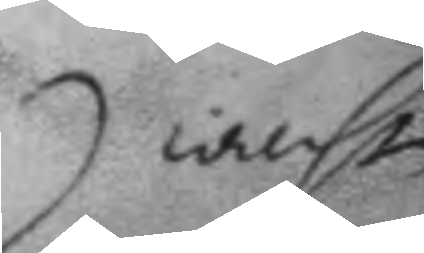wacht
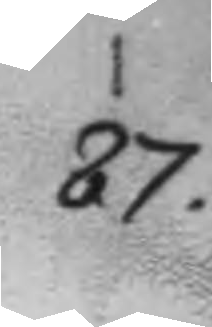87.
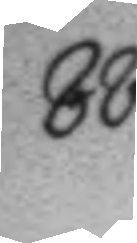88.
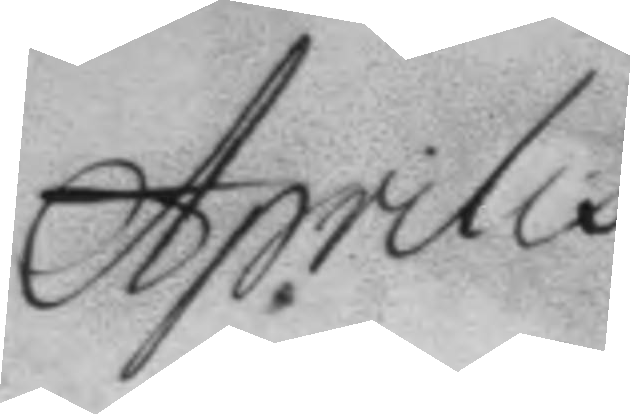Aprilis
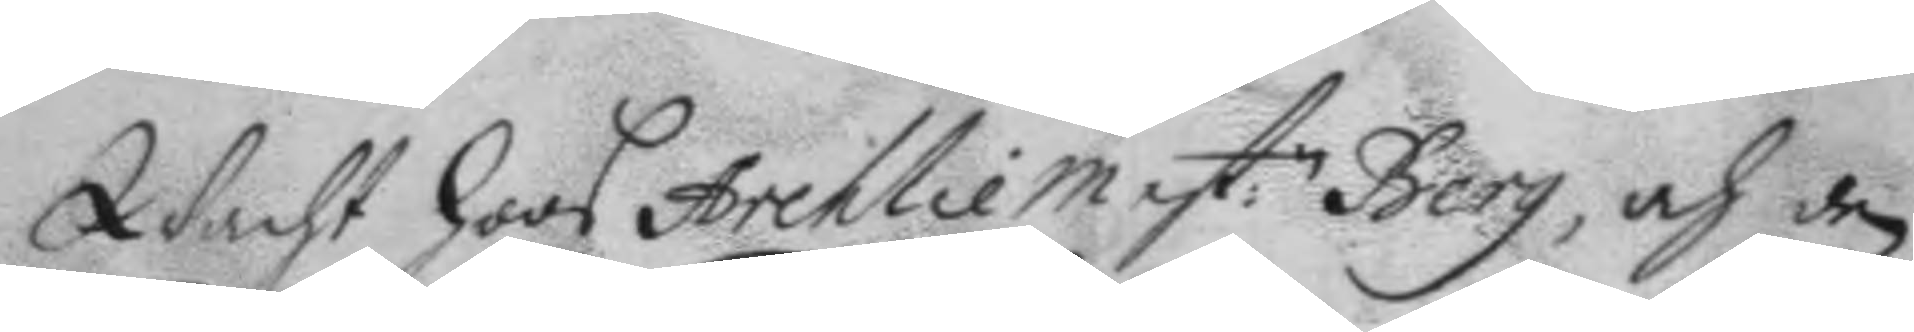Wacht hoos Archliemest:n Berg, och den
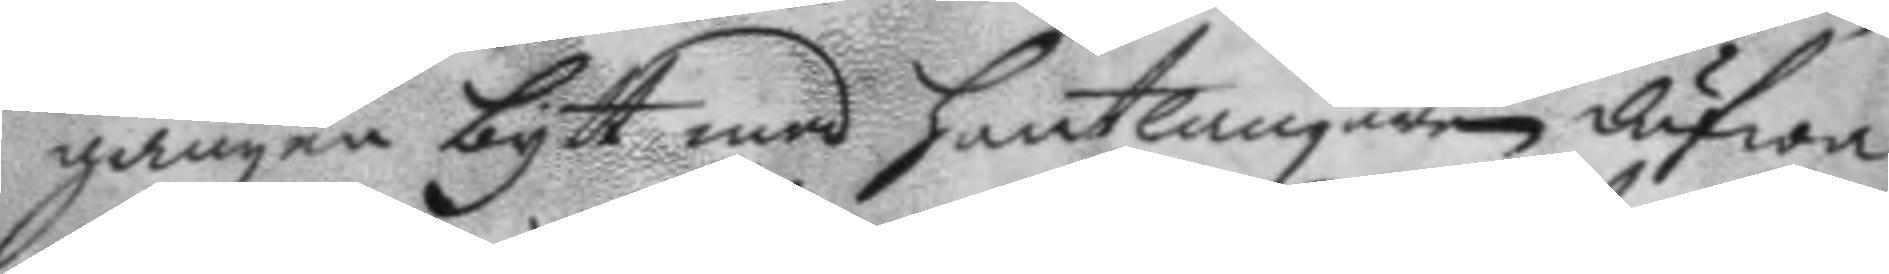gången bytt med hantlangaren dufwa
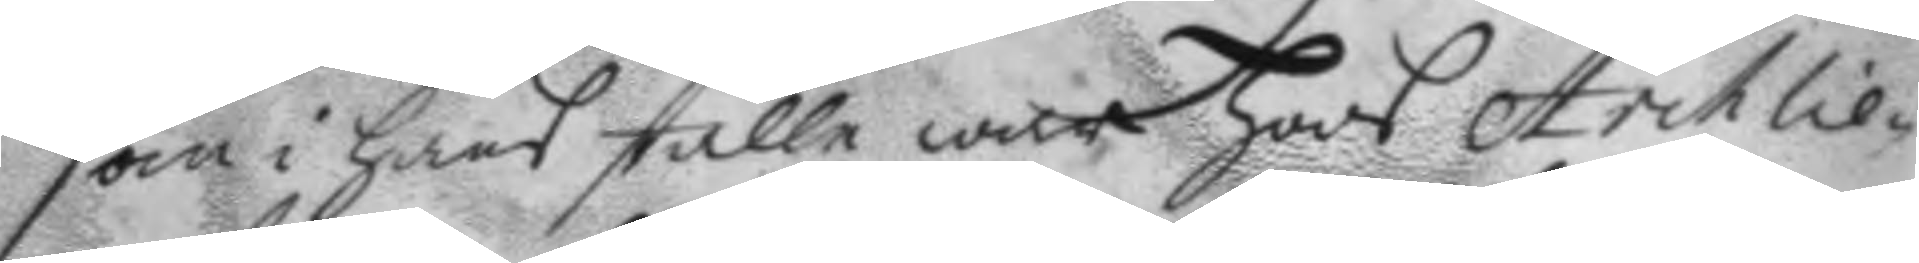som i hans ställe war hoos Archlie¬
